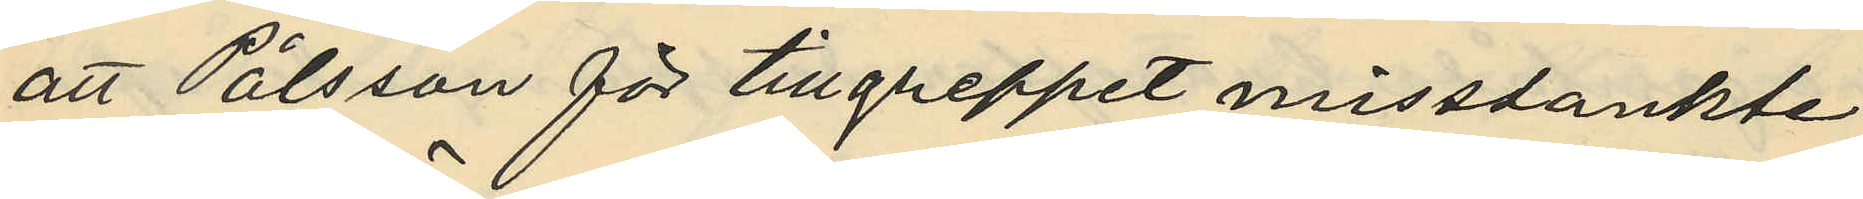att Pålsson för tillgreppet misstänkte
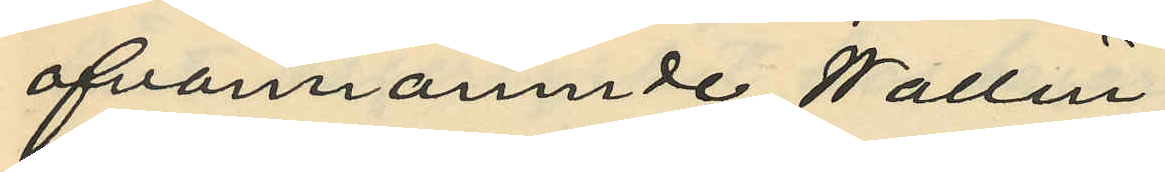ofvannämnde Wallin.
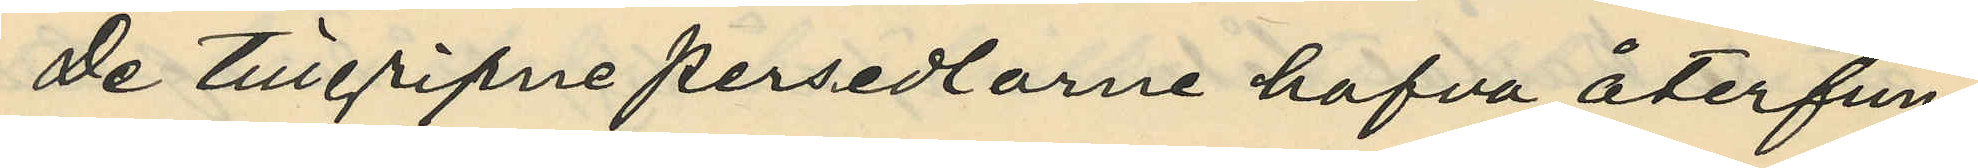De tillgripne persedlarne hafva återfun¬
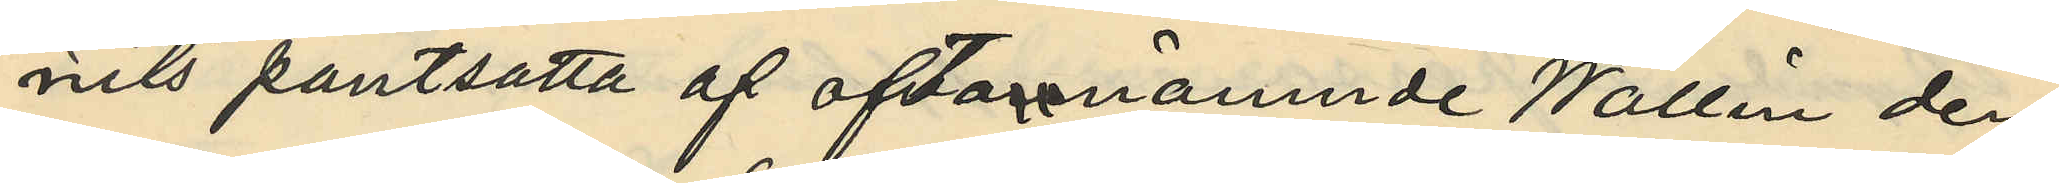nits pantsatta af oftanämnde Wallin den
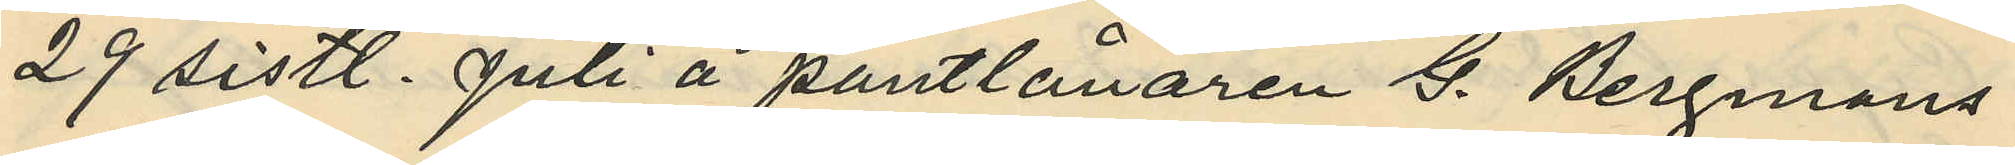29 sistl. Juli å pantlånaren G. Bergmans
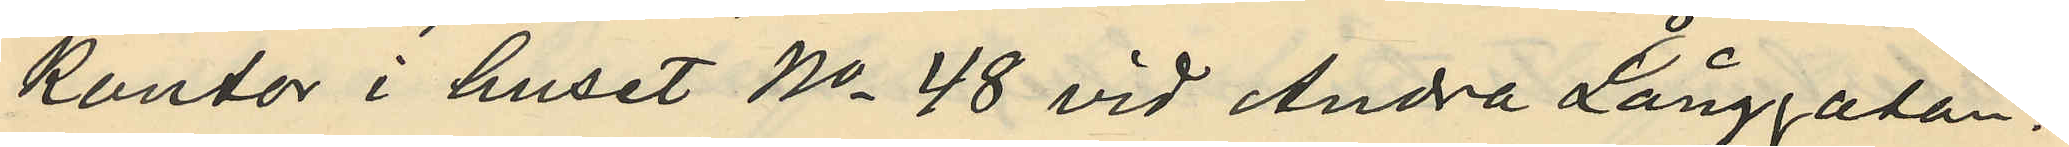kontor i huset No 48 vid Andra Långgatan:
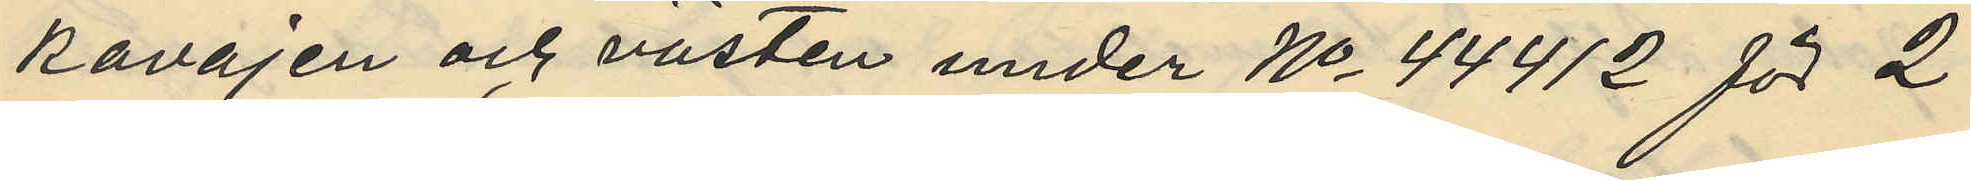kavajen och västen under No 44412 för 2
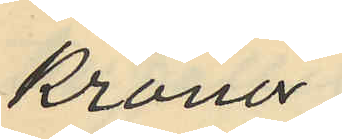kronor,
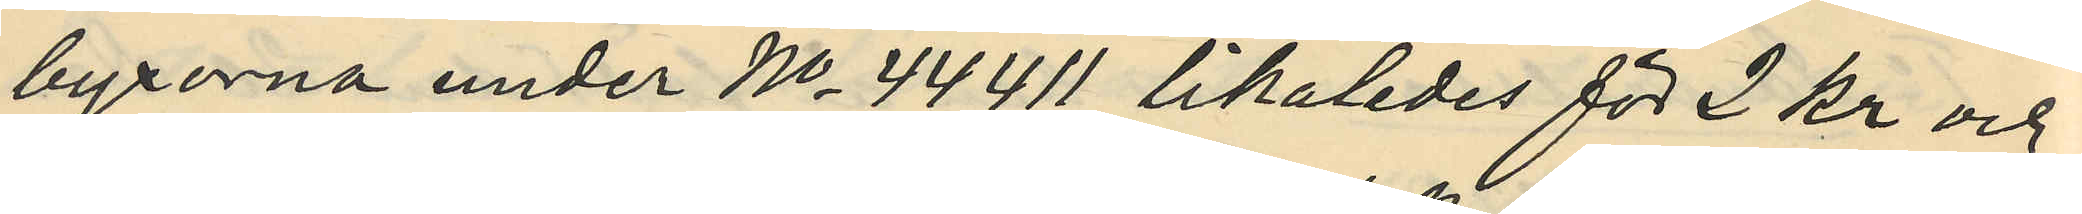byxorna under No 44411 likaledes för 2 kr och
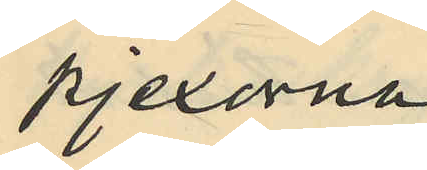pjexorna
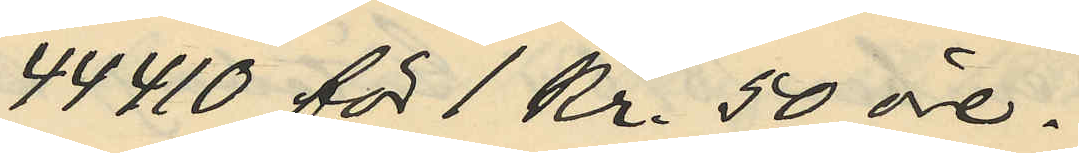44410 för 1 Kr. 50 öre.
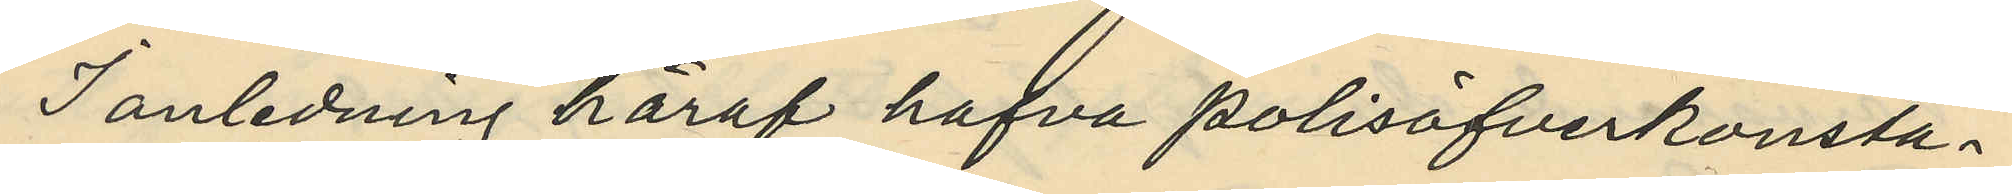I anledning häraf hafva polisöfverkonsta¬
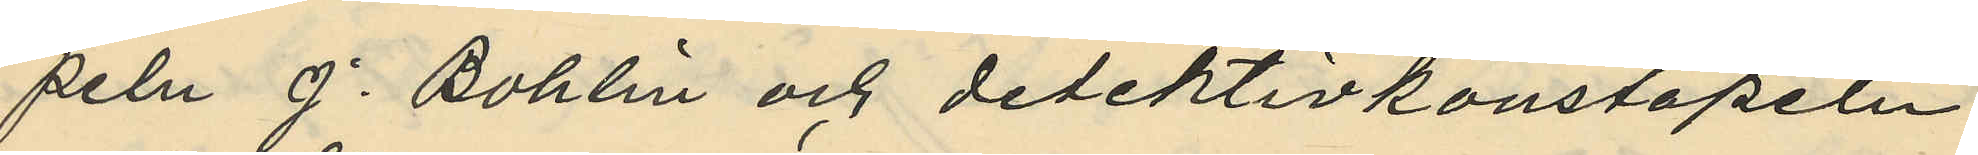peln J. Bohlin och detektivkonstapeln
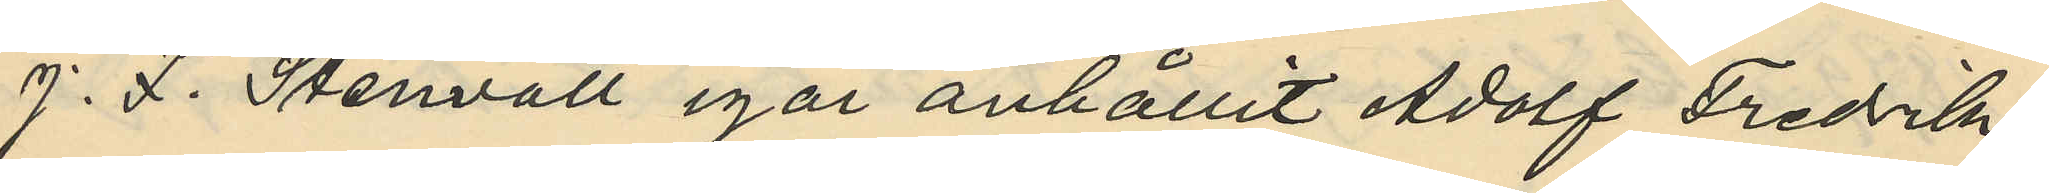J. F. Stenvall igår anhållit Adolf Fredrik
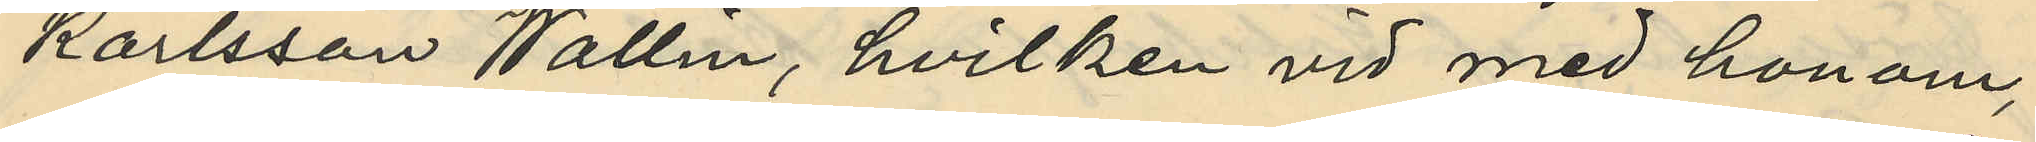Karlsson Wallin, hvilken vid med honom,
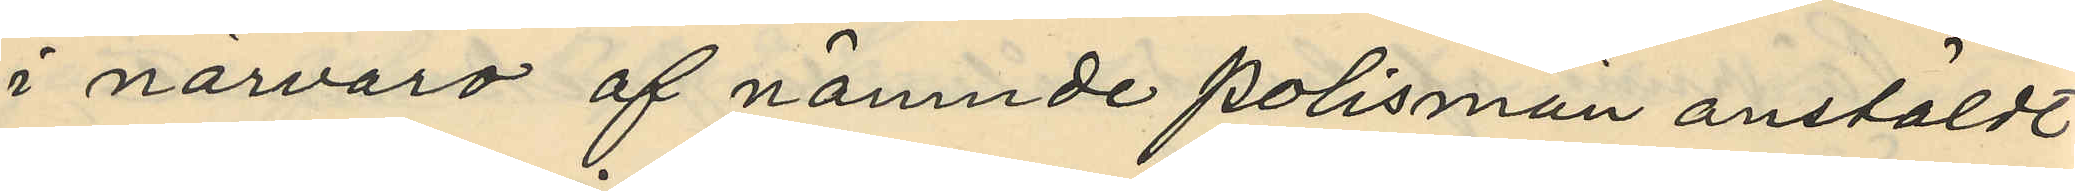i närvaro af nämnde polismän anstäldt
